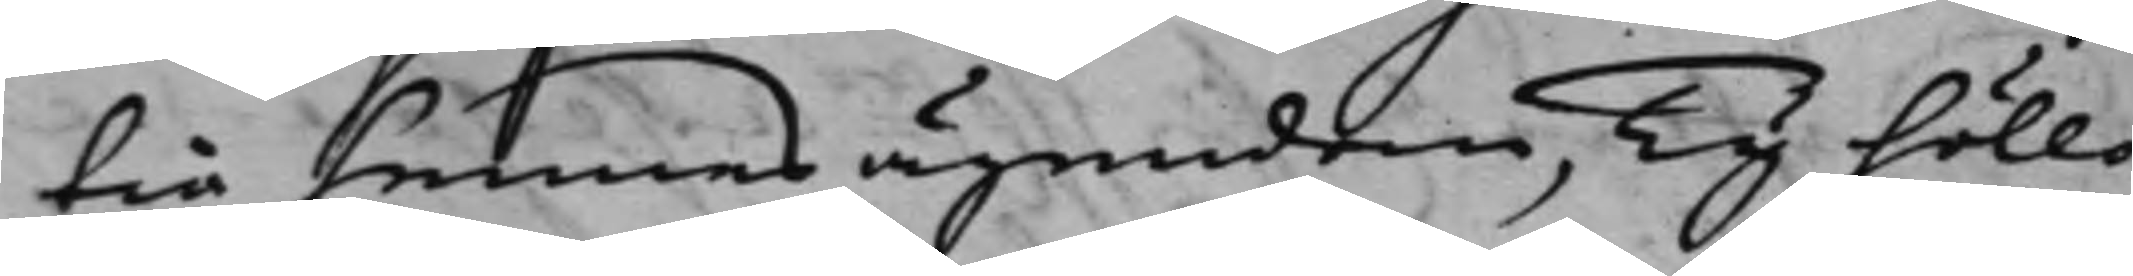tia hennes ägendom, Ty höllo
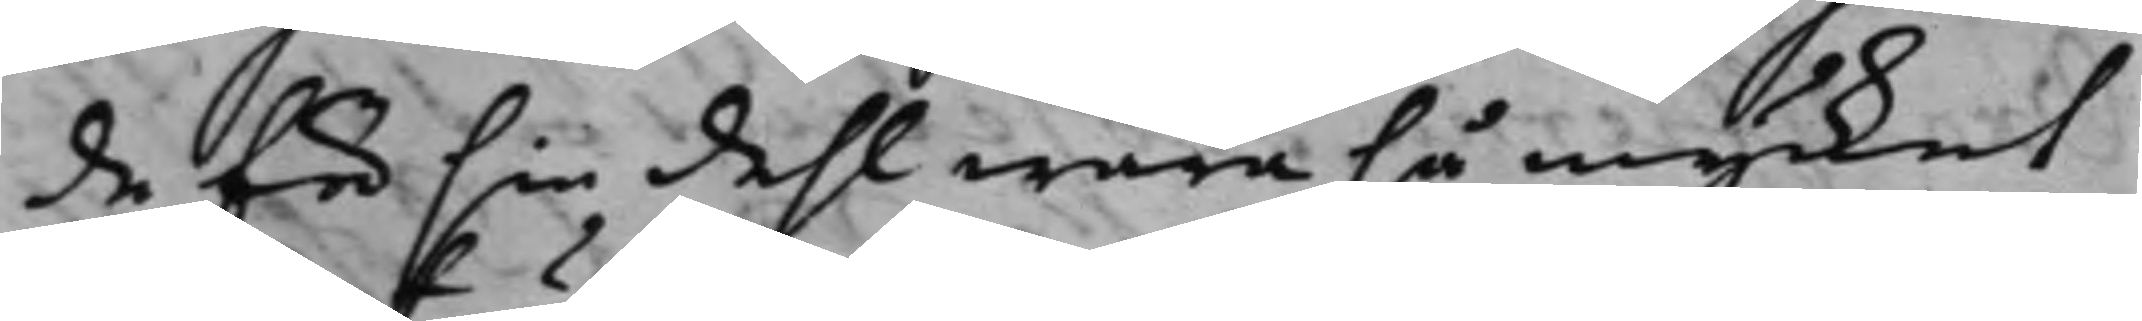de för sin dehl wara så mycket
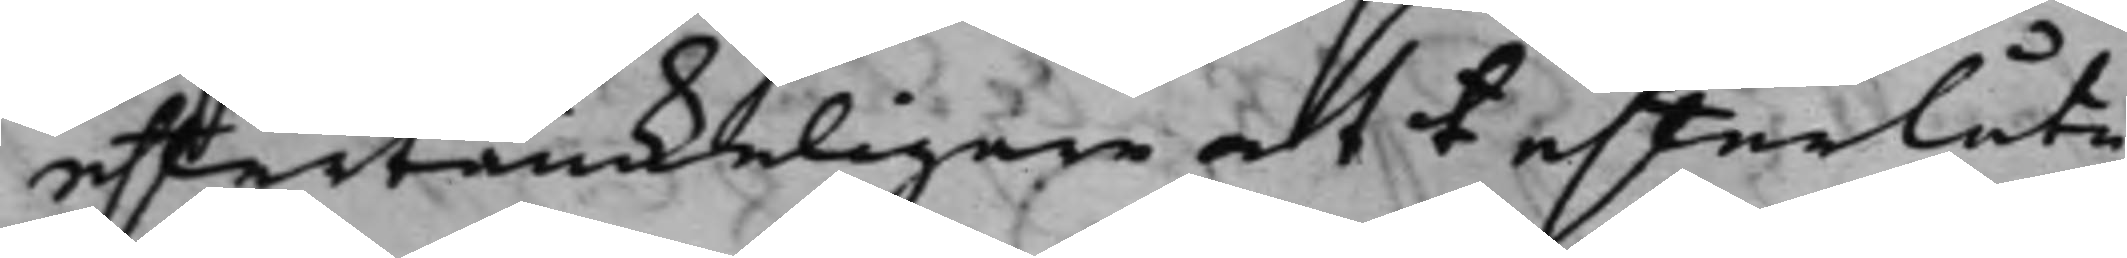eftertänkeligare att t efterlåta
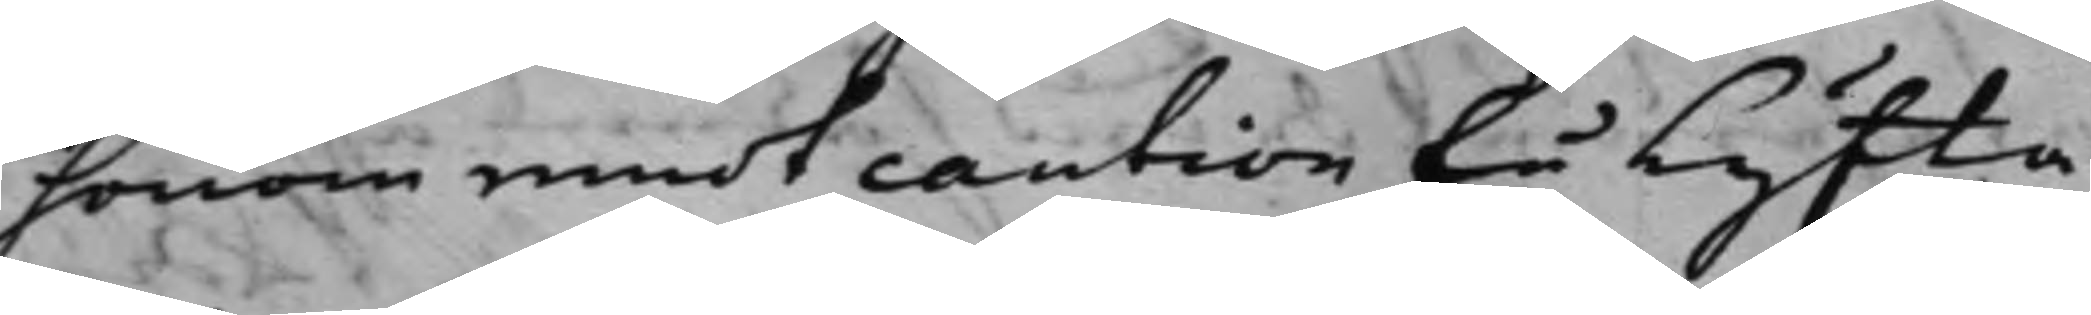honom emot caution få lyfta
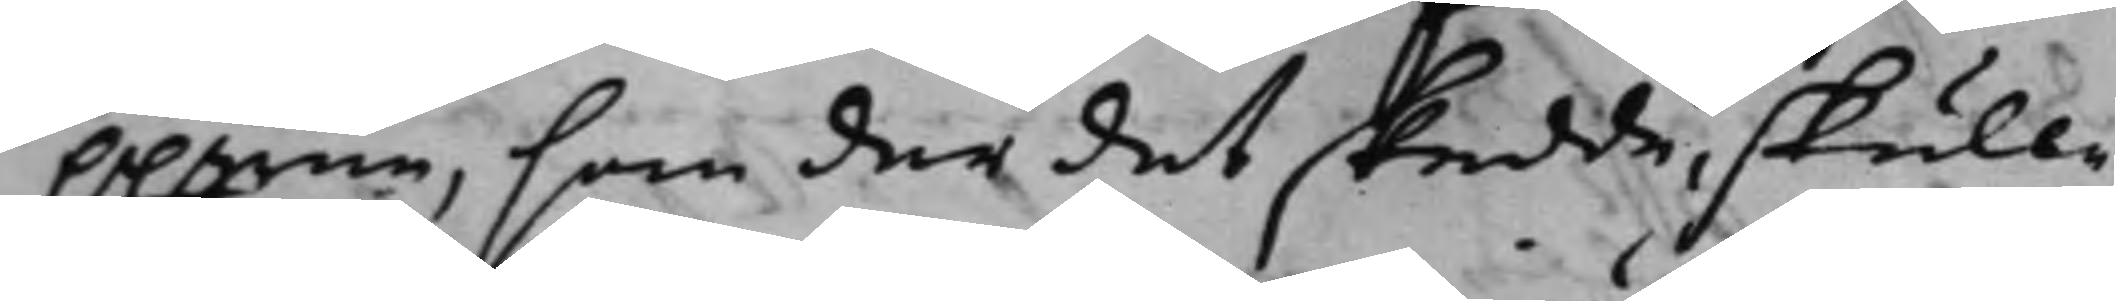ppgrne, som der det skedde, skulle
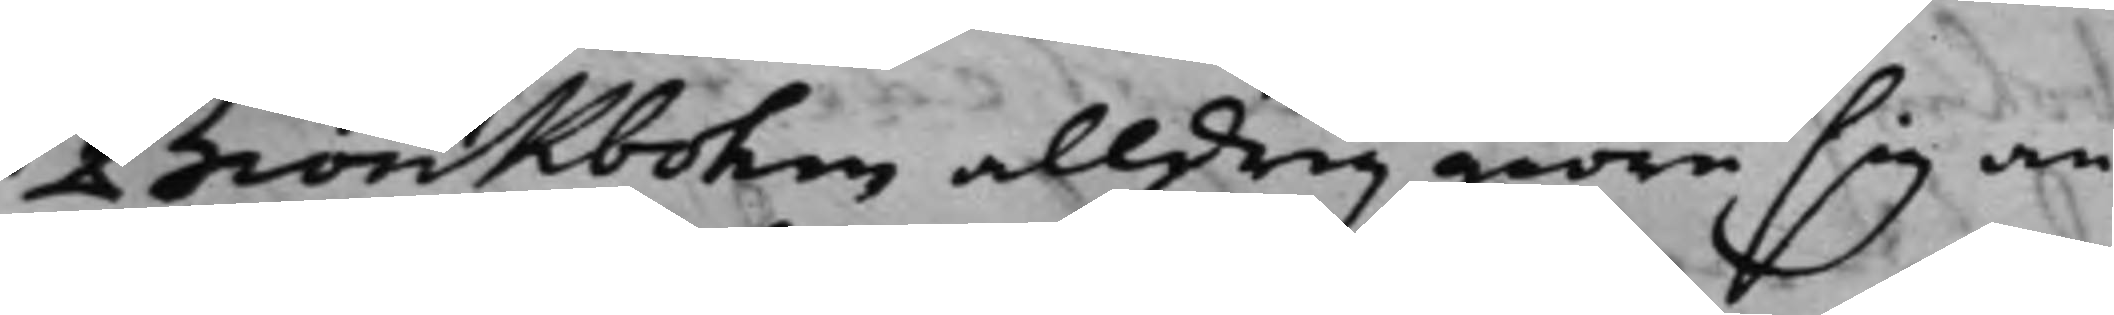Biörkbohm alldrig giöra sig an¬
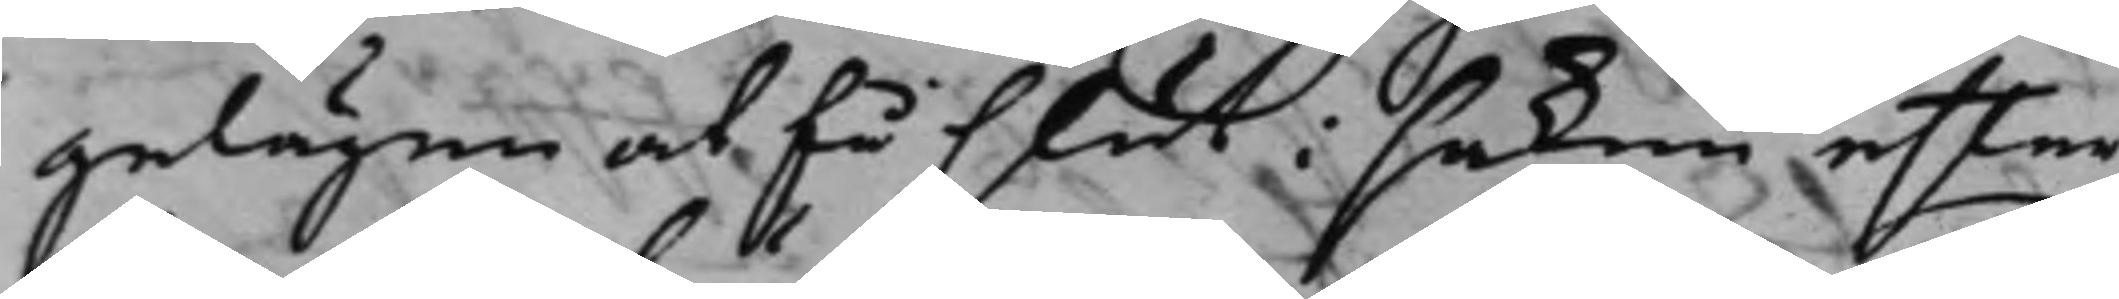gelägen at få slut i saken efter¬
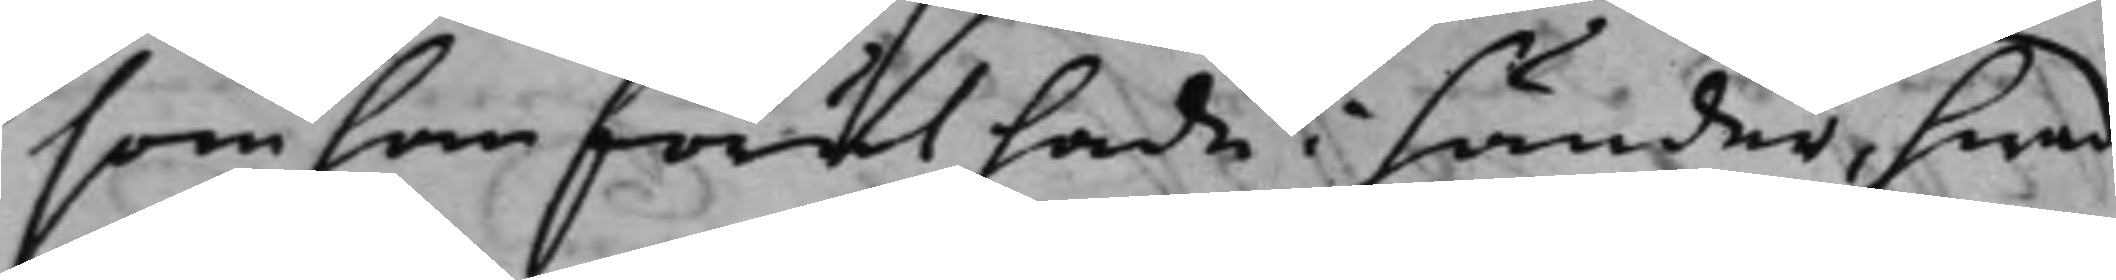som han förut hade i händer, hwad
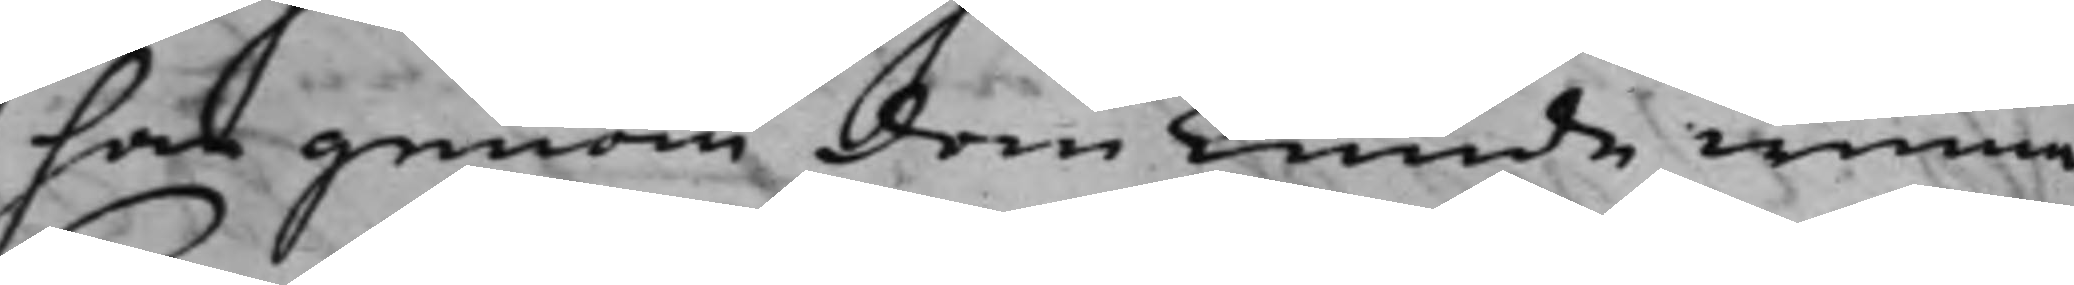han genom dem kunde winna.
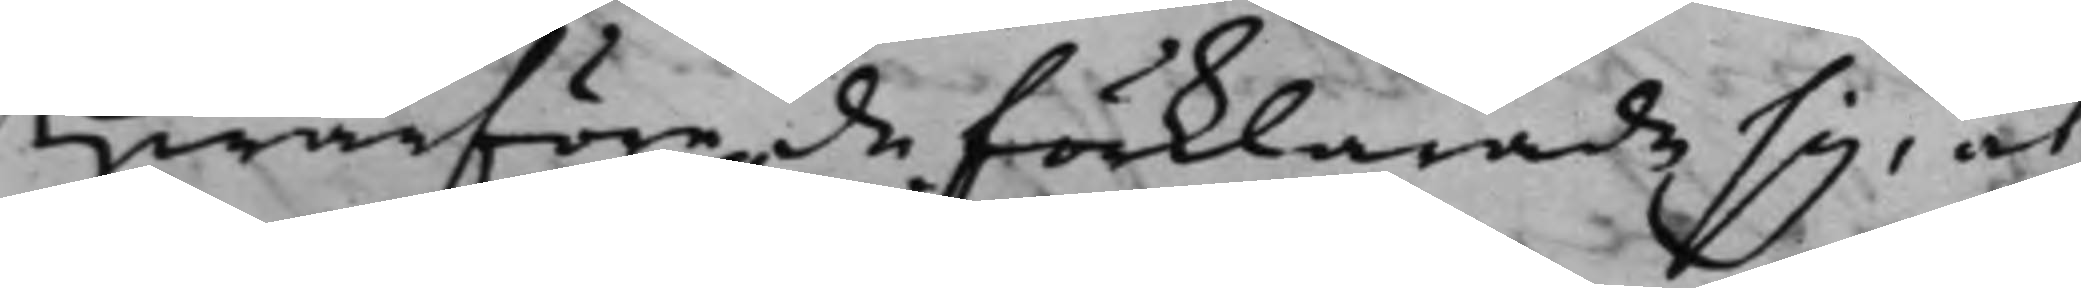Hwarföre de förklarade sig, at
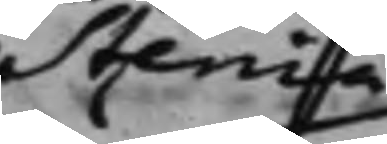Stenia
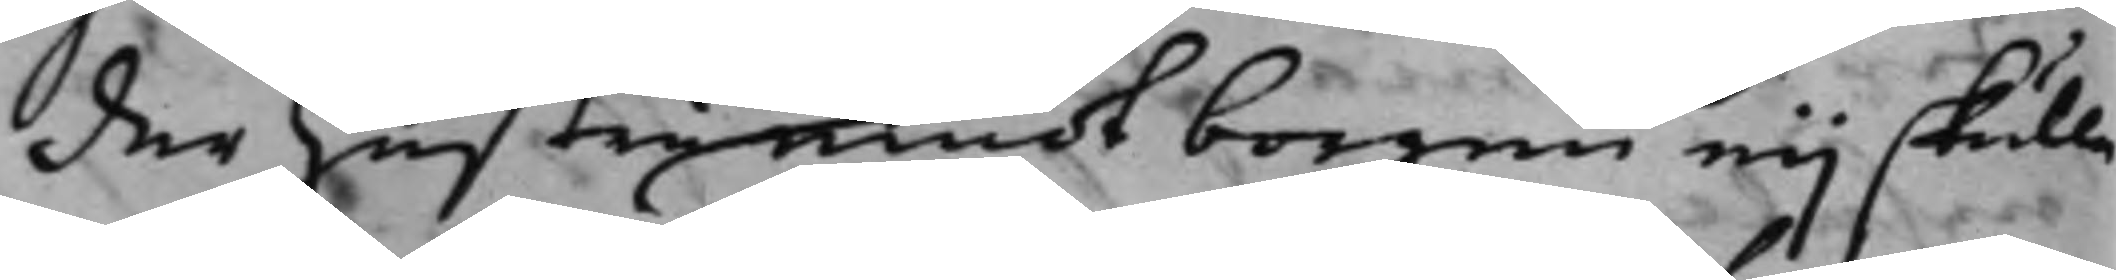der hustru emot borgen eij skulle
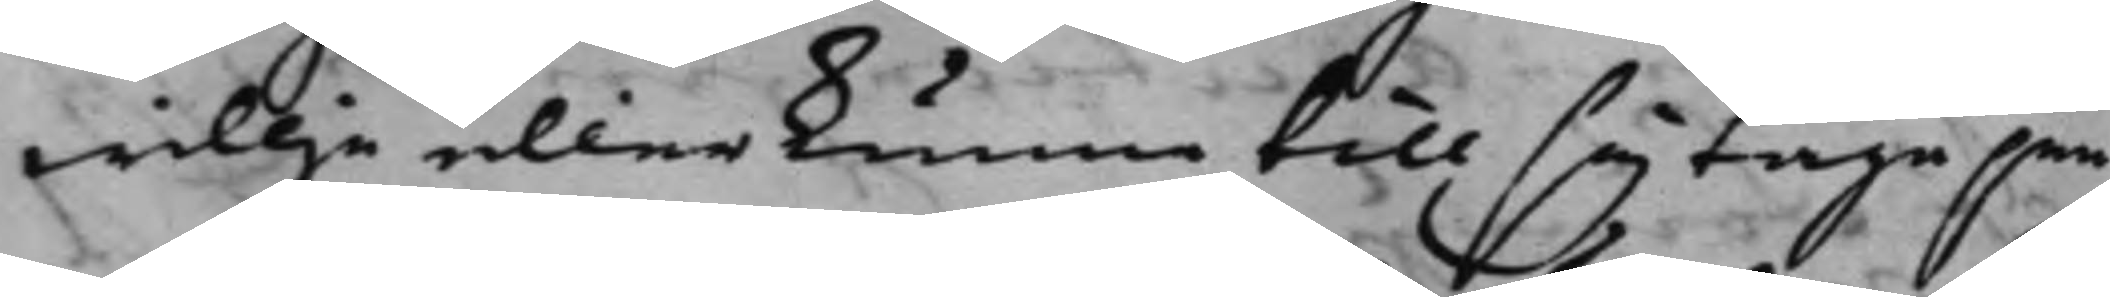willja eller kunna till sig taga pen¬
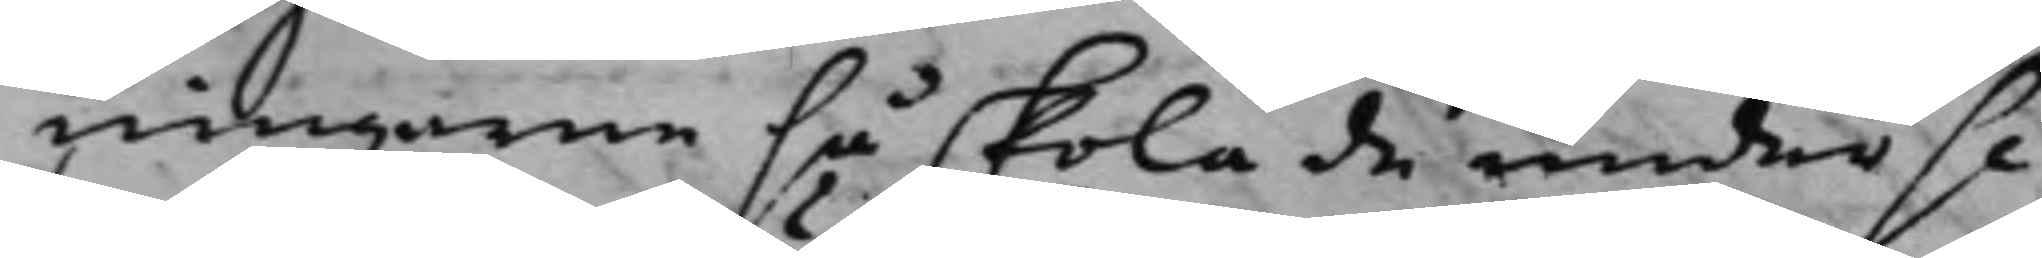ningarne så skola de under se¬
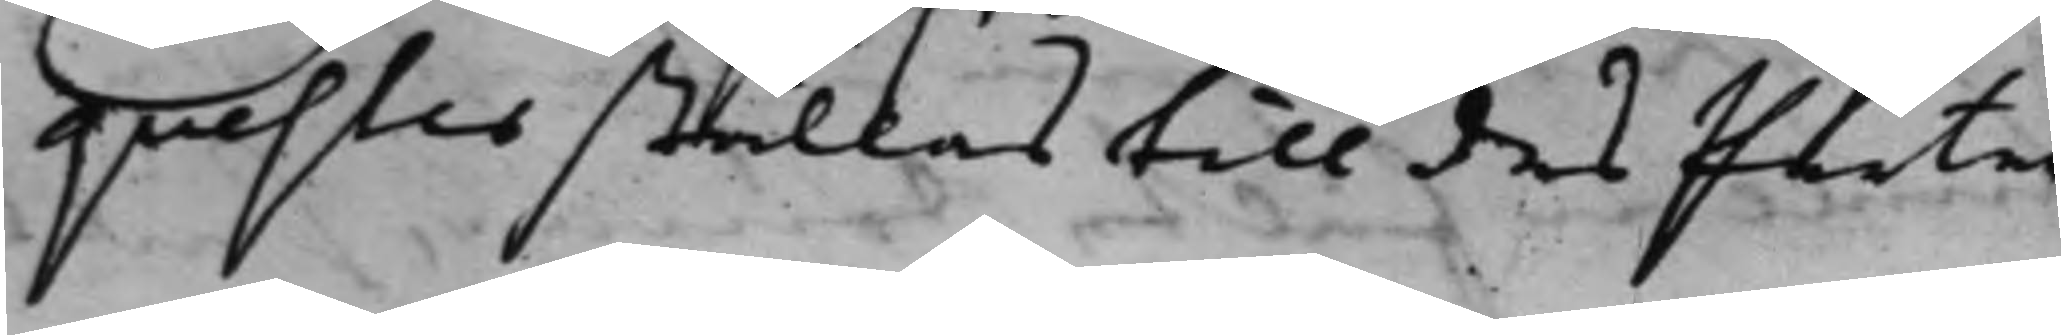quester ställas till des Parter¬
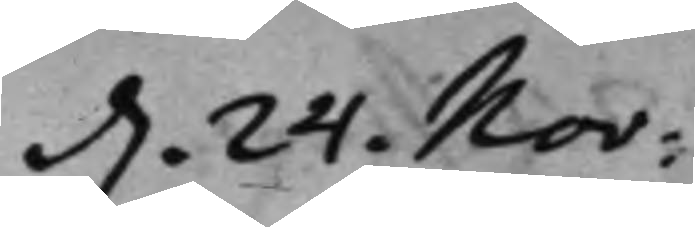d. 24. Nov:
